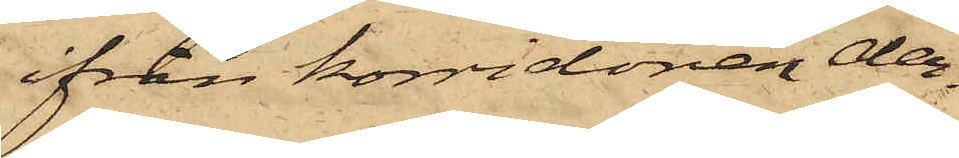ifrån korridoren der¬
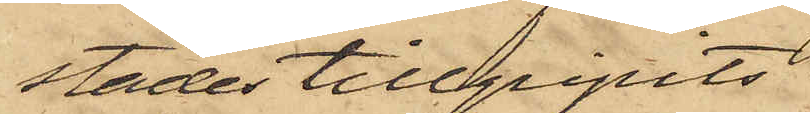städes tillgripits
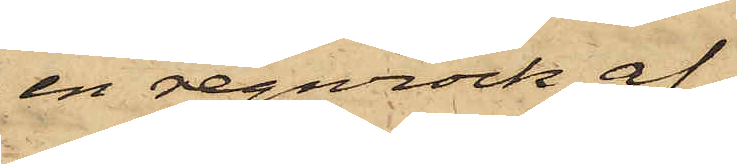en regnrock af
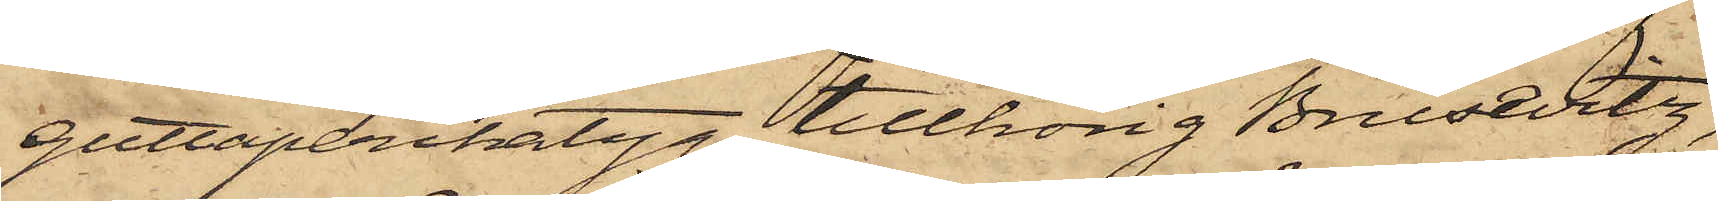guttaperchatyg, tillhörig Brusevitz,
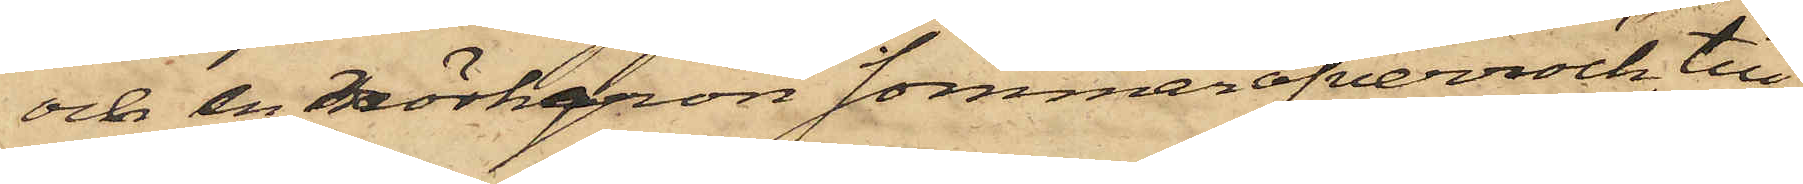och en mörkgrön sommaröfverrock, till¬
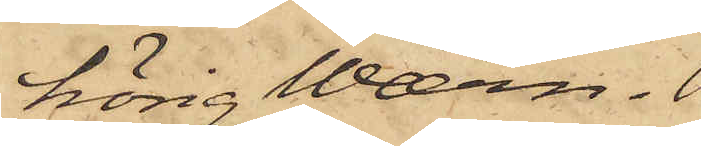hörig Wærn.
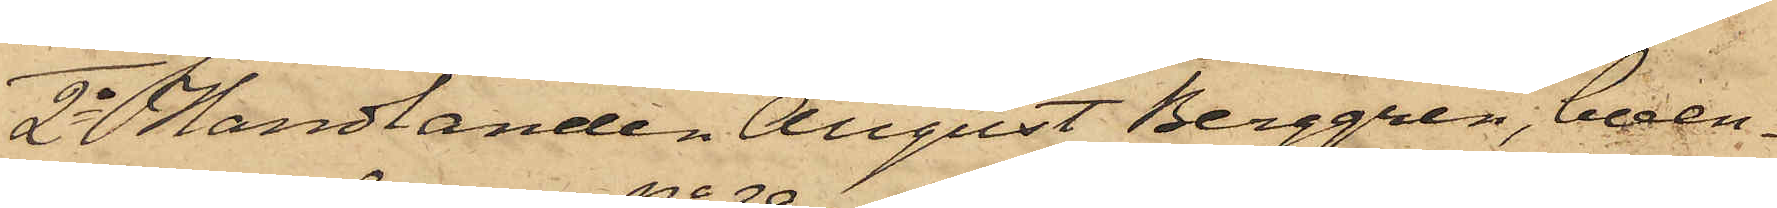2o handlanden August Berggren, boen¬
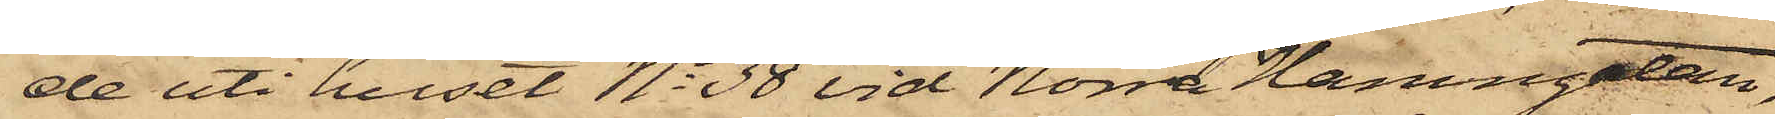de uti huset No 38 vid Norra Hamngatan,
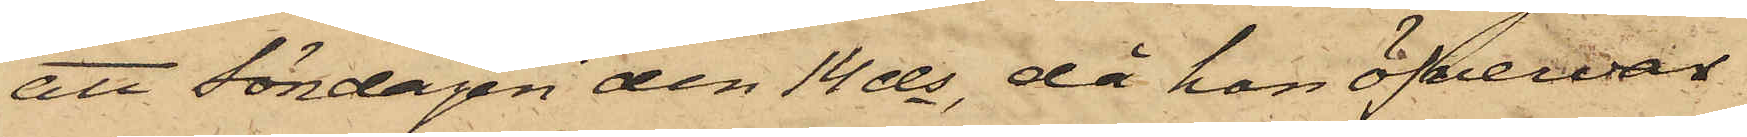att Lördagen den 14 ds, då han öfvervar
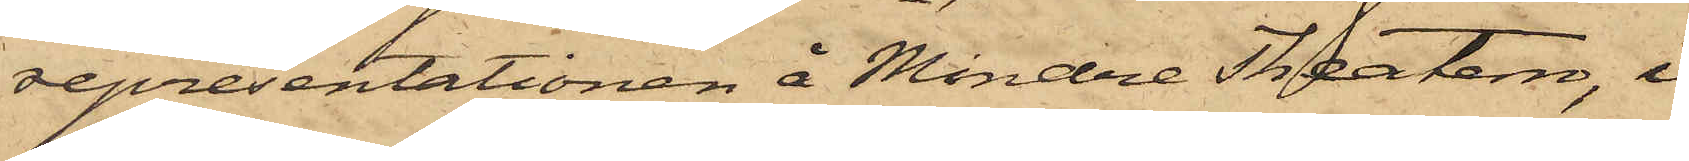representationen å Mindre Theatern, i
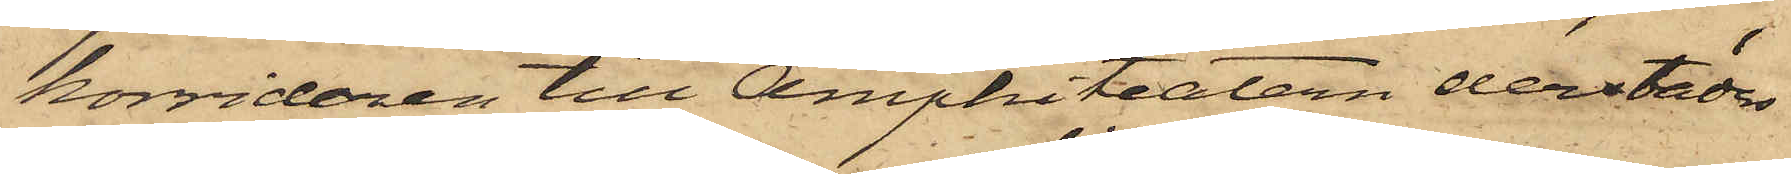korridoren till Amphiteatern derstädes
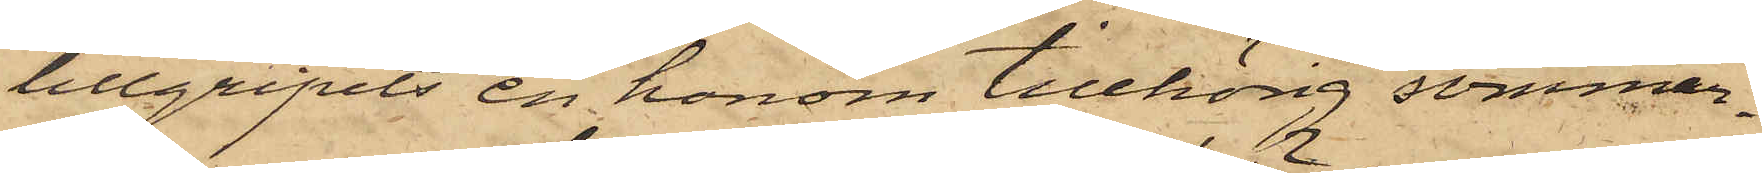tillgripits en honom tillhörig sommar¬
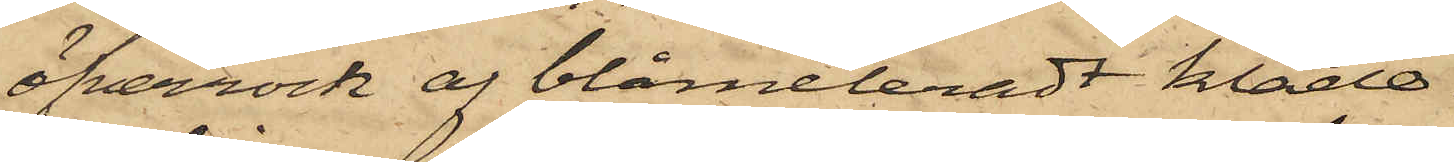öfverrock af blåmeleradt kläde.
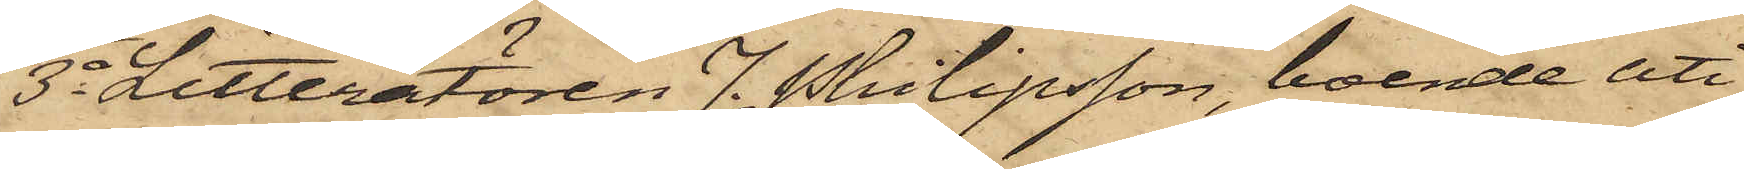3o Litteratören J. Philipsson, boende uti
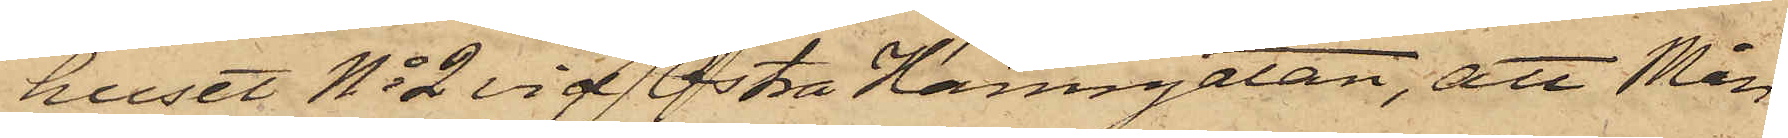huset No 2 vid Östra Hamngatan, att Mån¬
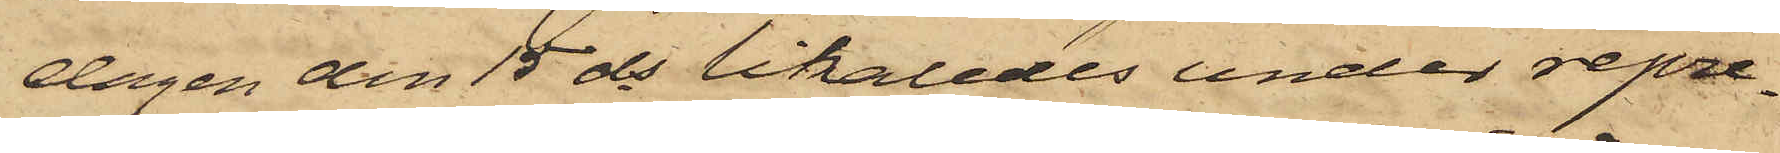dagen den 15 ds likaledes under repre¬
